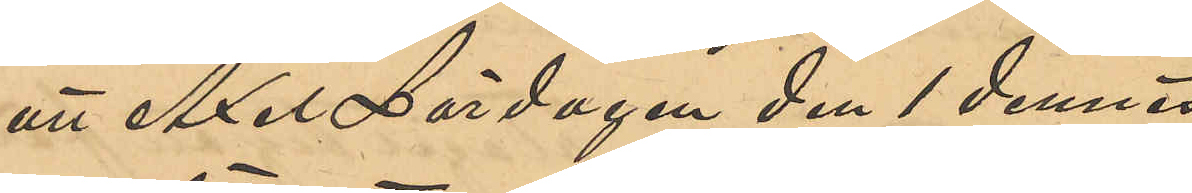att Axel Lördagen den 1 dennes 
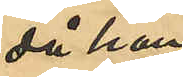då han
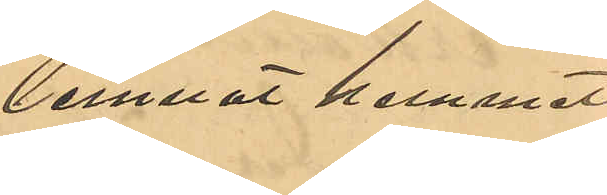lemnat hemmet
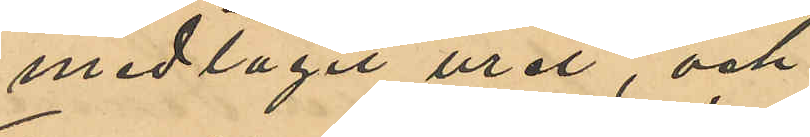medtagit uret,och
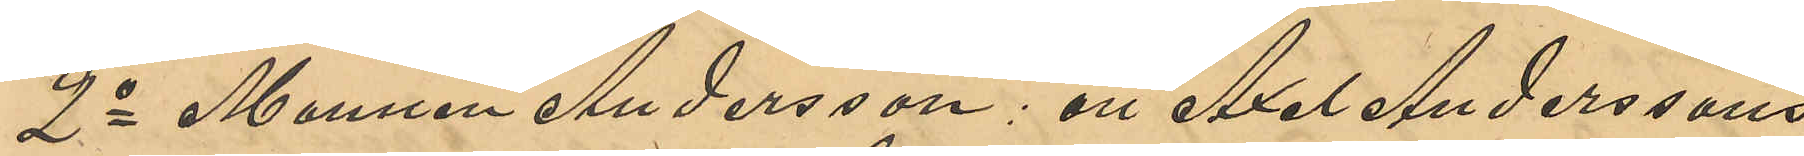2o Mannen Andersson: att Axel Anderssons
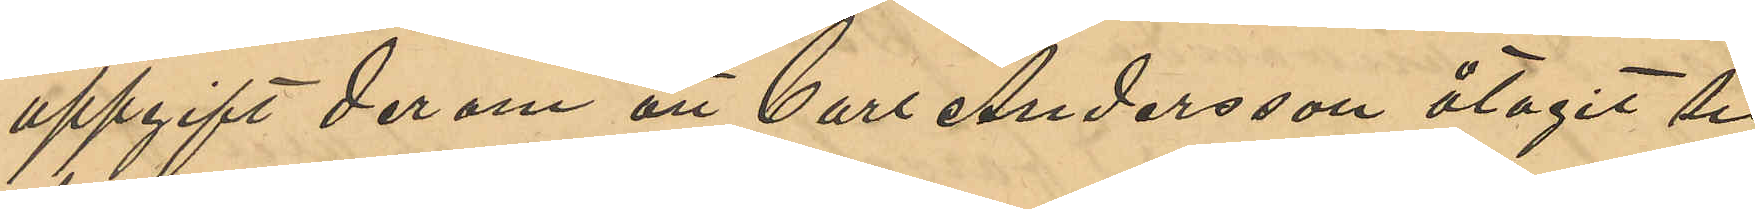uppgift derom att Carl Andersson åtagit sig
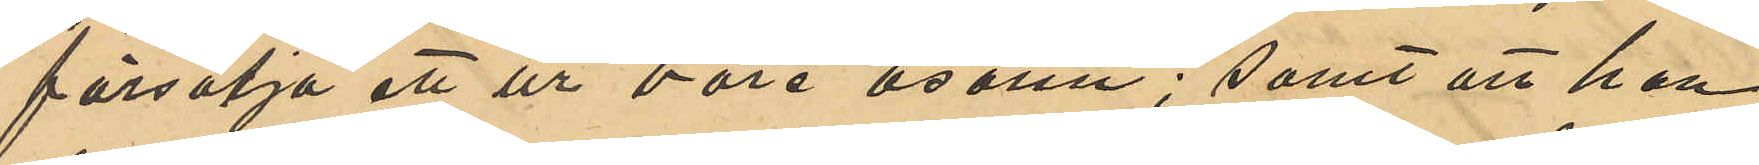försälja ett ur vore osann; samt att han
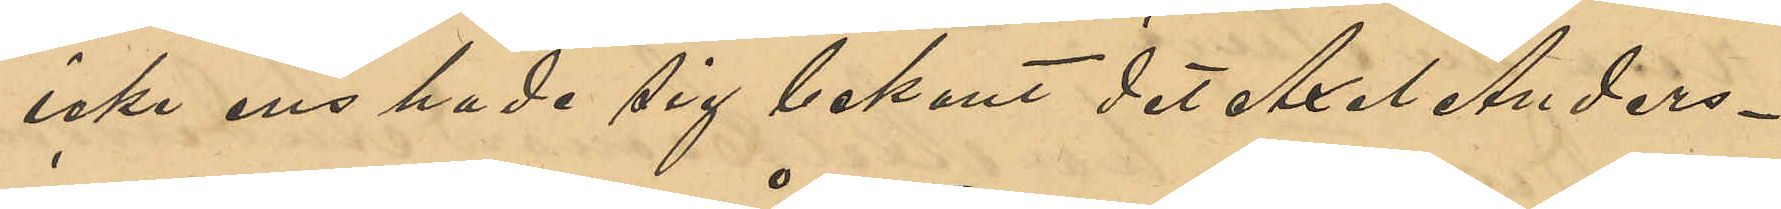icke ens hade sig bekant det Axel Anders¬
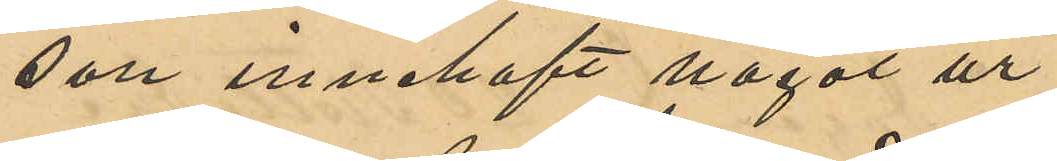son innehaft något ur.
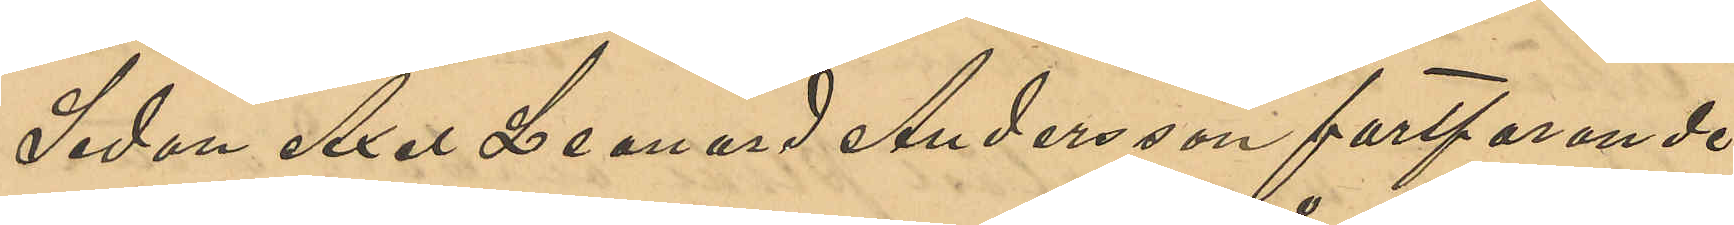Sedan Axel Leonard Andersson fortfarande
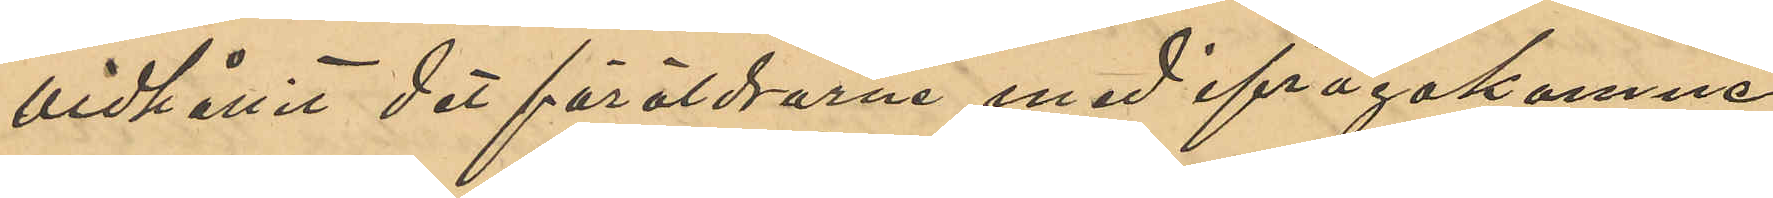vidhållit det föräldrarne med ifrågakomne
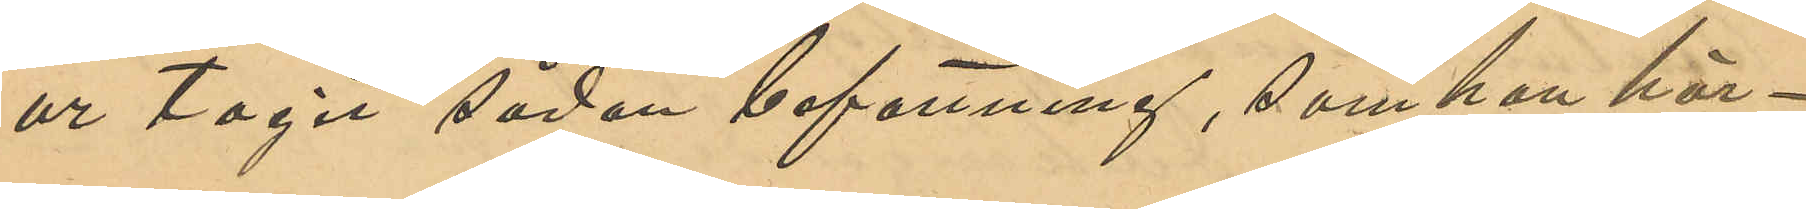ur tagit sådan befattning, som han här¬
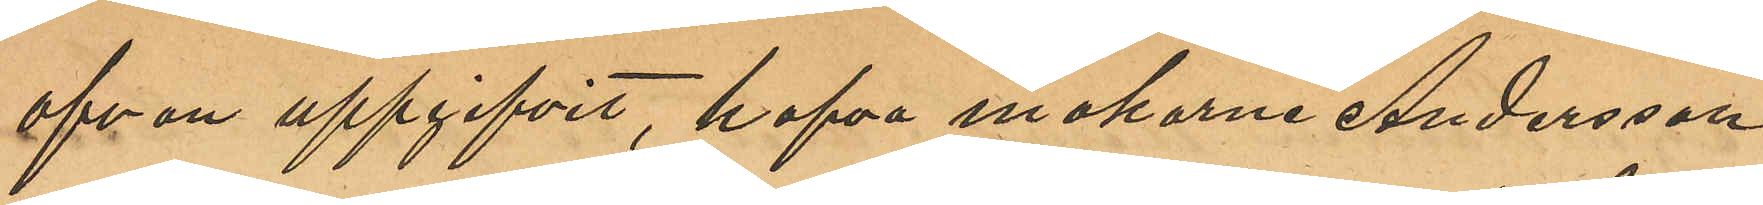ofvan uppgifvit, hafva makarne Andersson
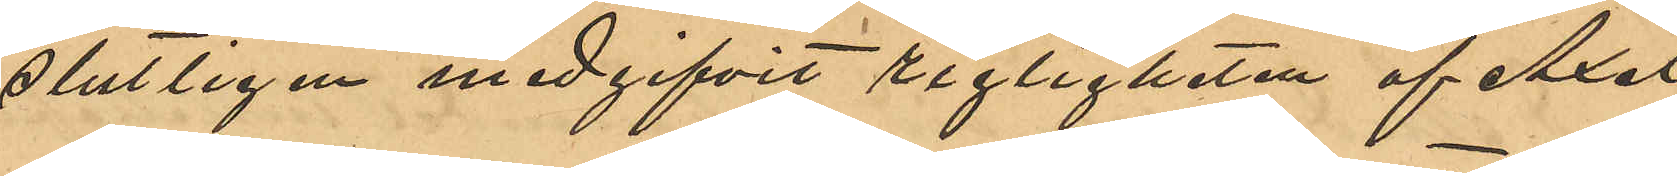slutligen medgifvit rigtigheten af Axel
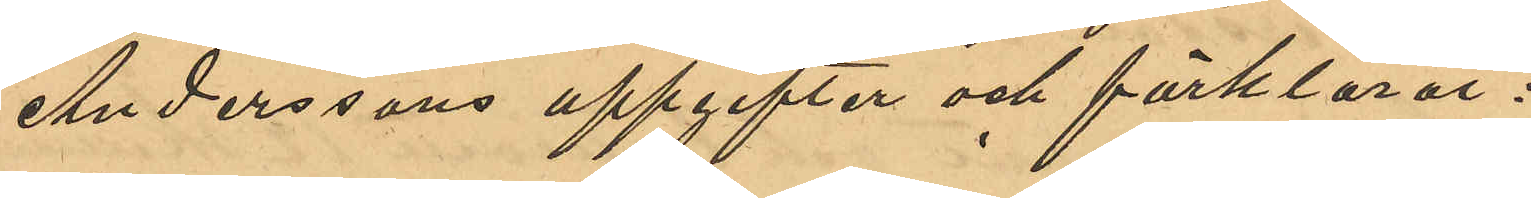Anderssons uppgifter och förklarat:
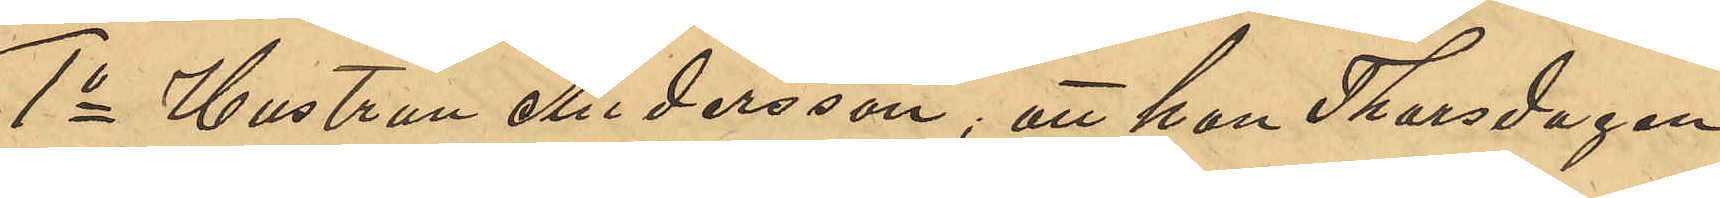1o Hustrun Andersson, att hon Thorsdagen
